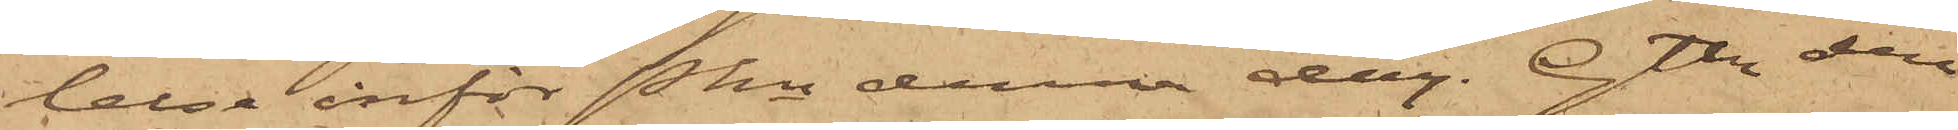lelse inför Pkn denna dag. Gtbg den
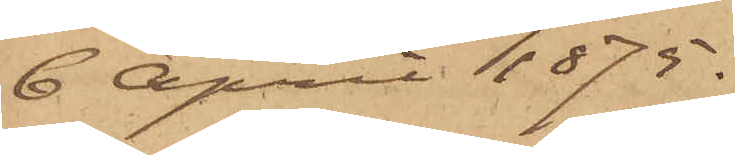6 April 1875.
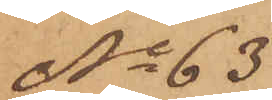No 63
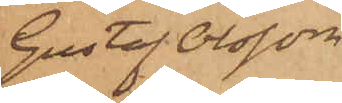Gustaf Olsson
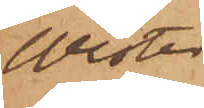Wester.
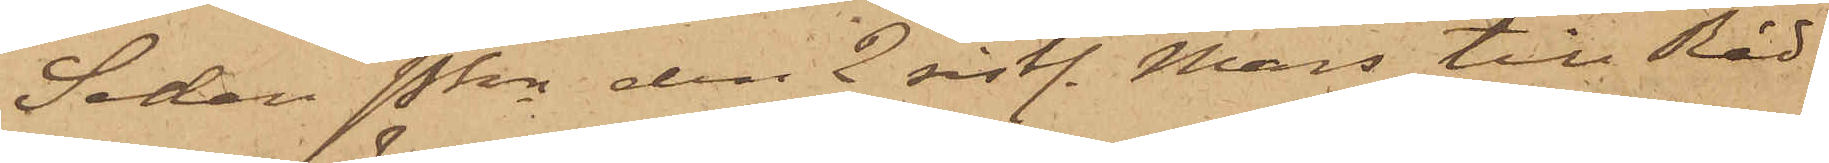Sedan Pkn den 2 sistl. Mars till Råd¬
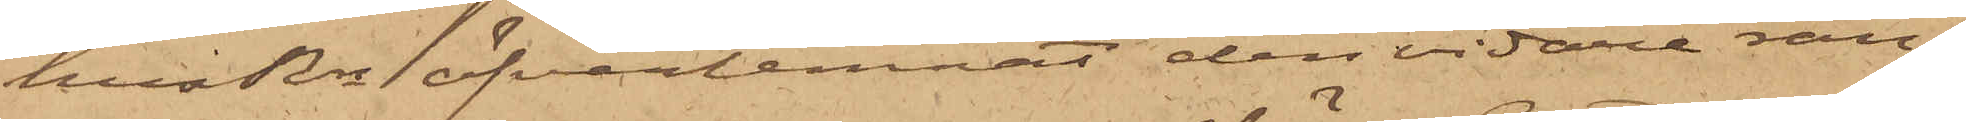husRn öfverlemnat den vidare ran¬
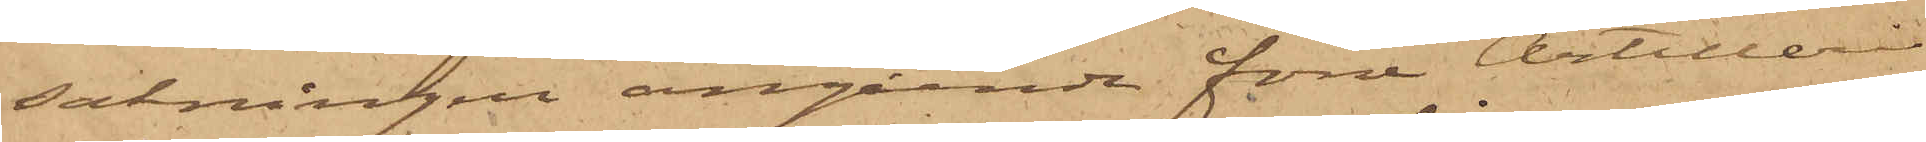sakningen angående förre Artilleri¬
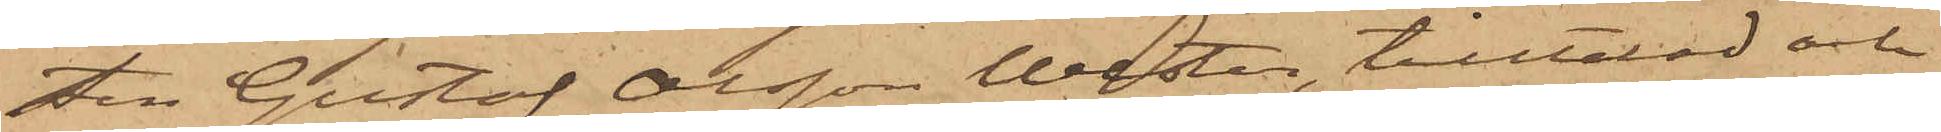sten Gustaf Olsson Wester, tilltalad och
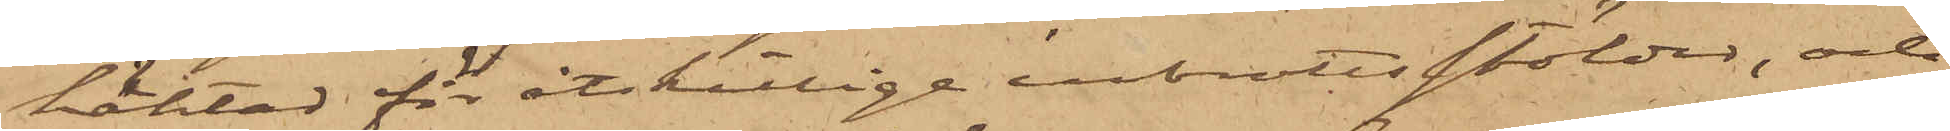häktad för åtskillige inbrottsstölder, och
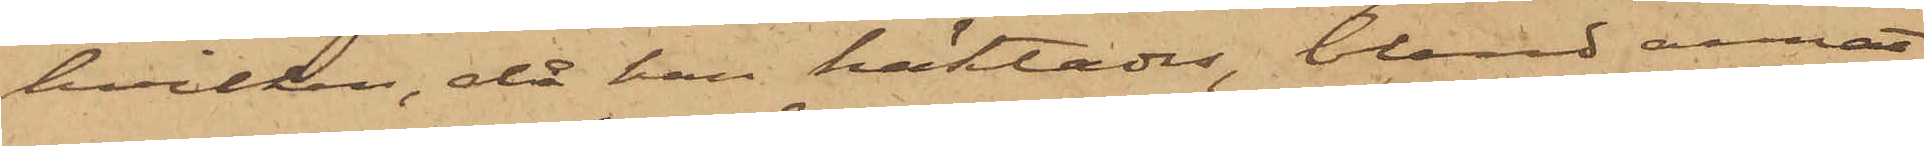hvilken, då han häktades, bland annat
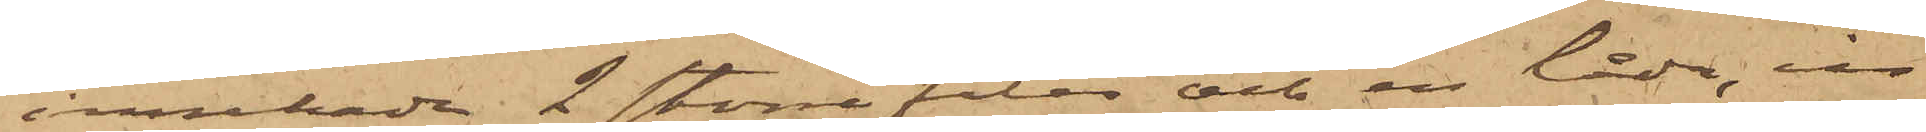innehade 2 större filar och en låda, in¬
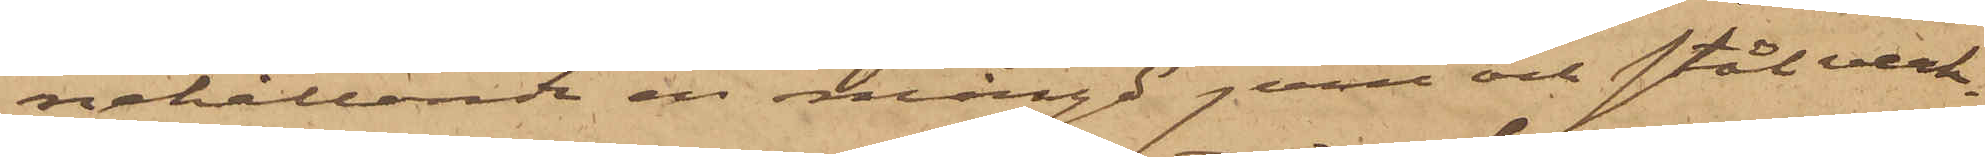nehållande en mängd jern och stålverk¬
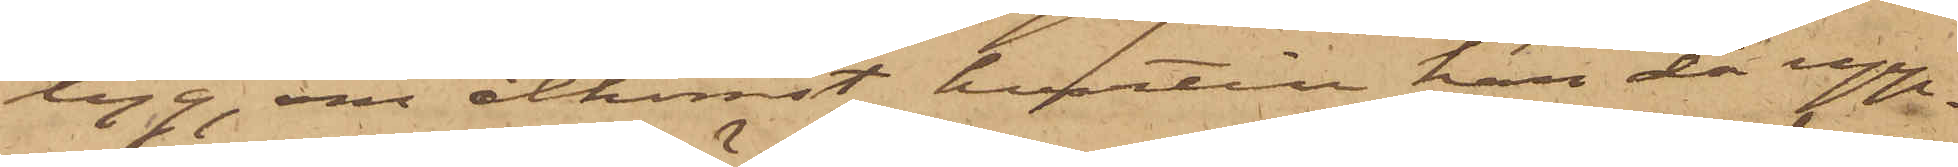tyg, om åtkomst hvartill han då upp¬
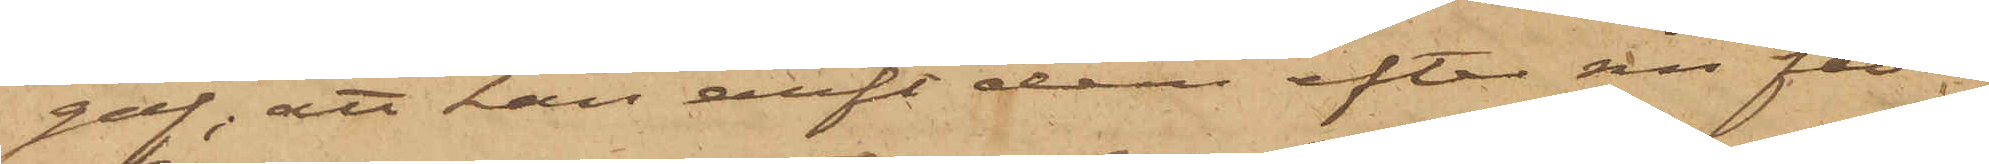gaf, att han ärft dem efter sin fader,
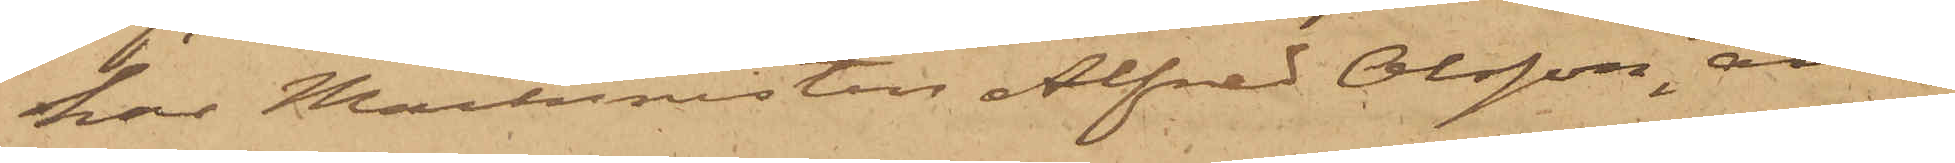har Maskinisten Alfred Olsson, an¬
